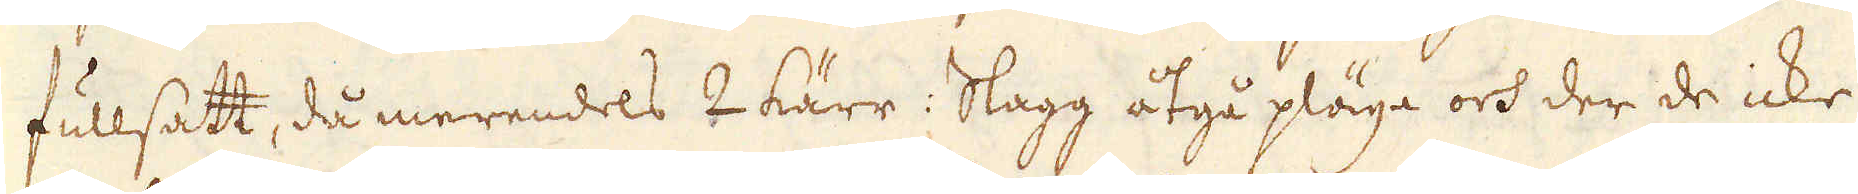fullsatt, då merendels 4 kärr: Slagg åtgå pläga och der de icke
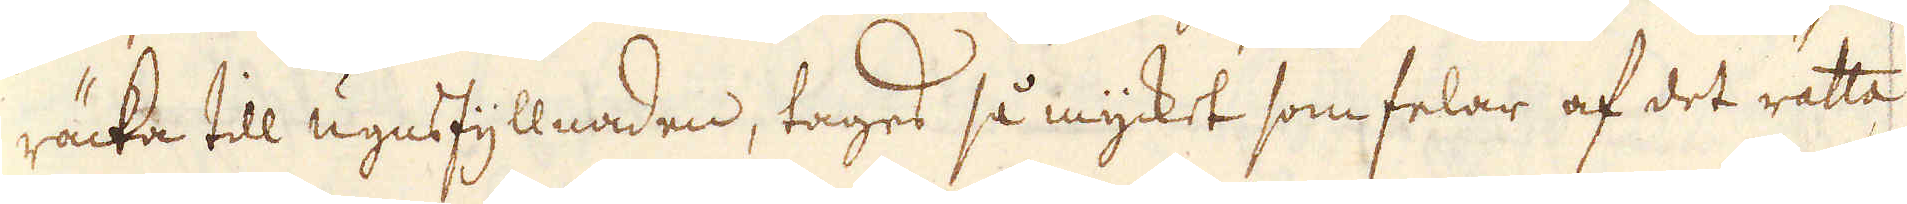räcka till ugnsfyllnaden, tages så mycket som felar af det rätta
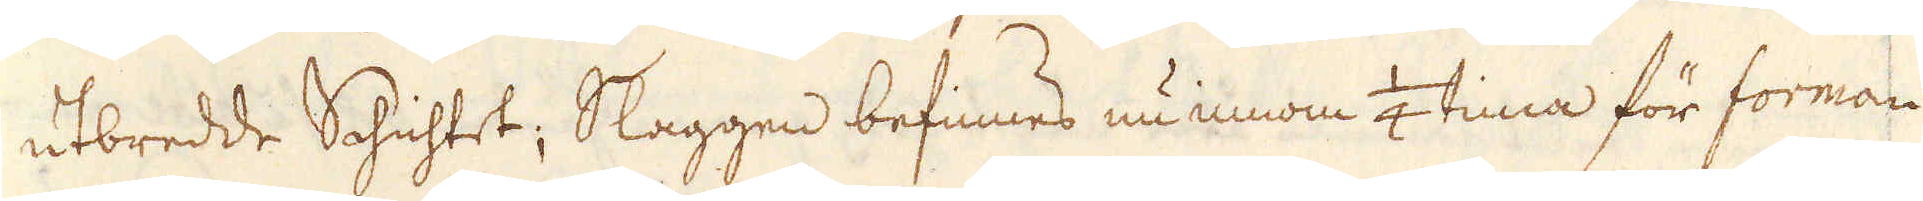utbredde Schichtet; Slaggen befinnes nu innom 1/4 tima för forman
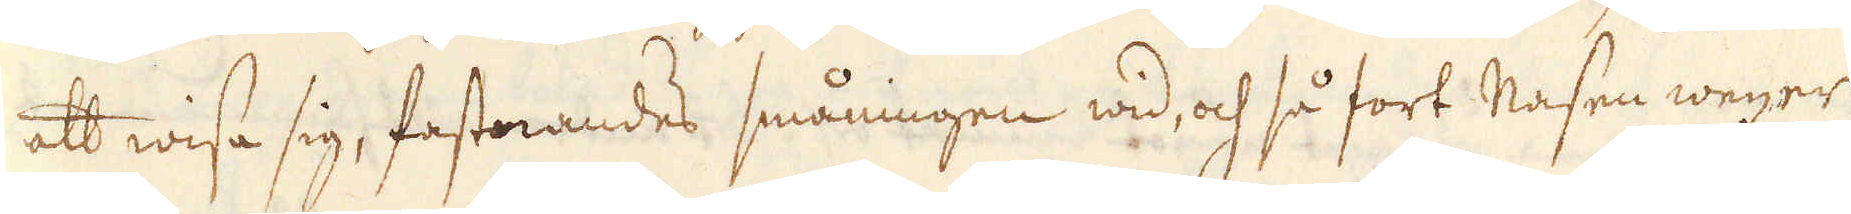att wisa sig, fastnandes småningen wid, och så fort Masen wexer
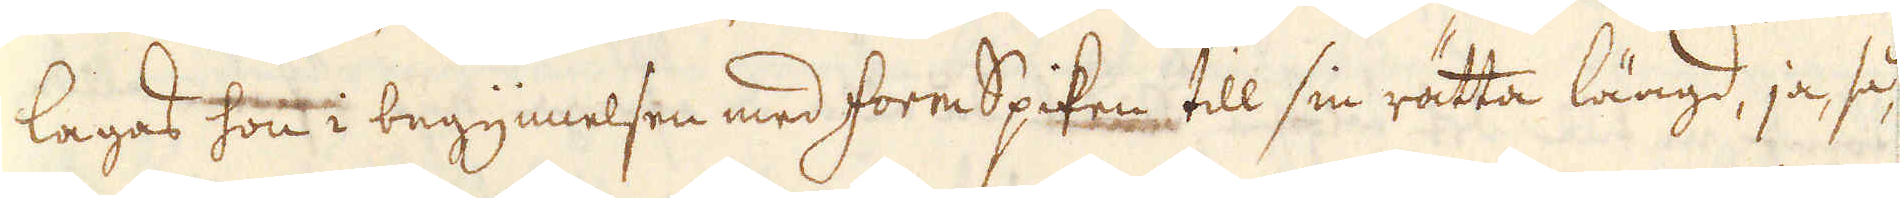lagas hon i begynnelsen med formSpiken, till sin rätta längd, ja, så-
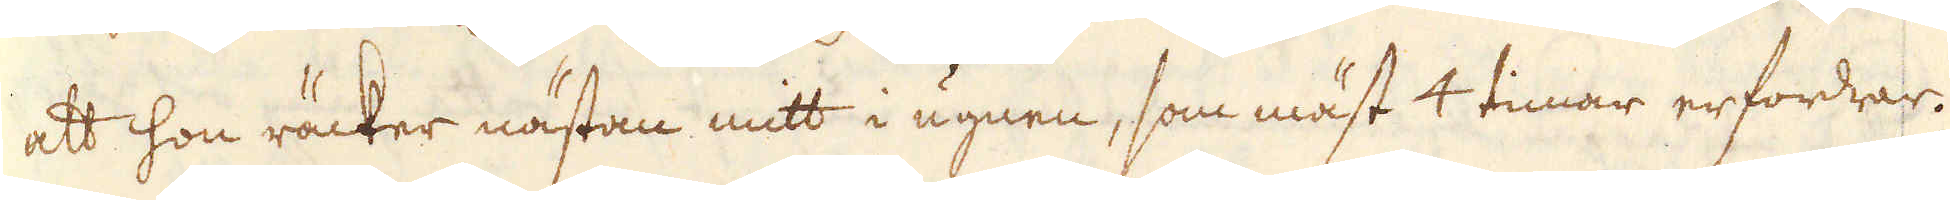att hon räcker nästan mitt i ugnen, som mäst 4 timar erfordrar.
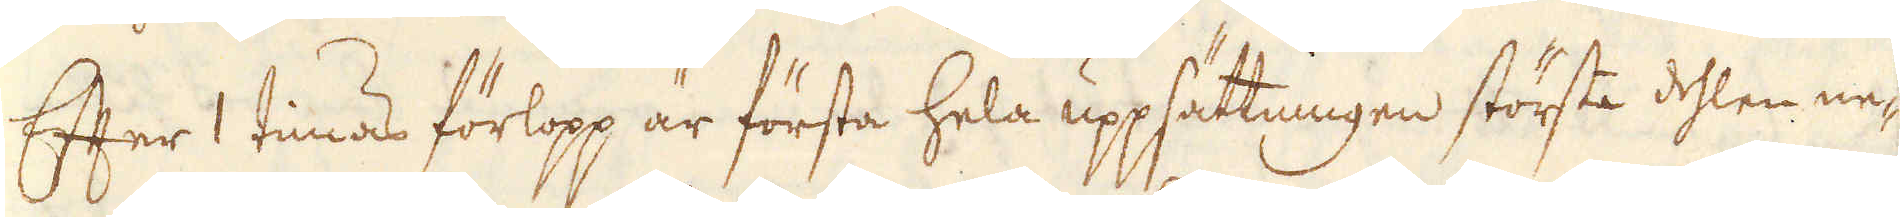Efter 1 timas förlopp är första hela uppsättningen största dehlen ne-
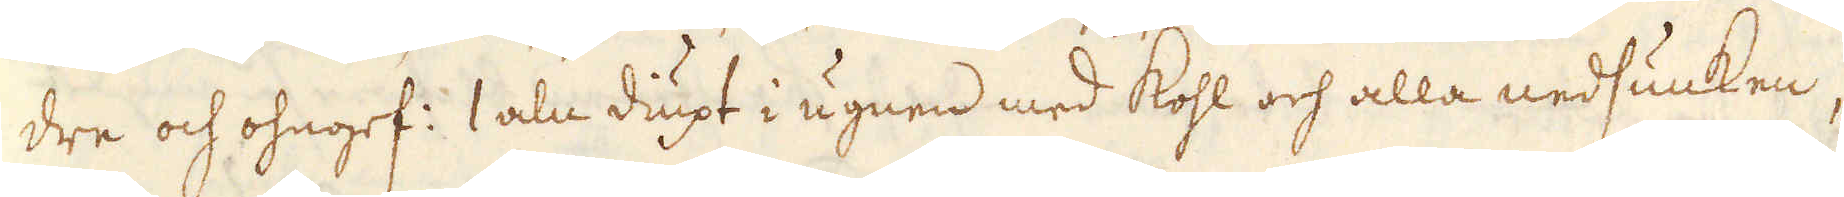dre och ohngef: 1 aln diupt i ugnen med kohl och alla nedsunken,
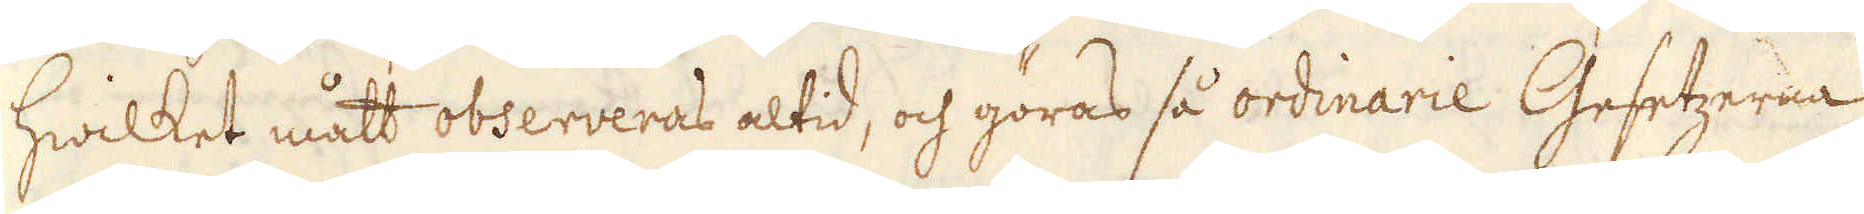hwilket mått observeras altid, och göras så ordinarie Gesetzerna
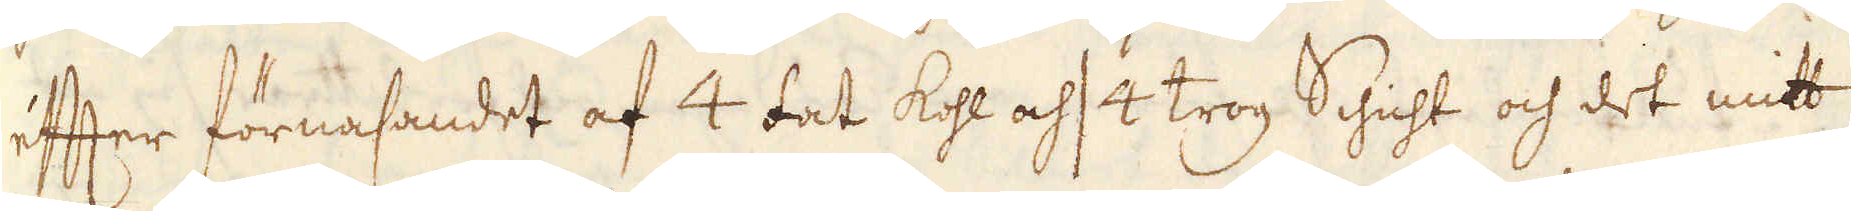efter förnasandet af 4 fat kohl och 4 trog Schicht och det mitt
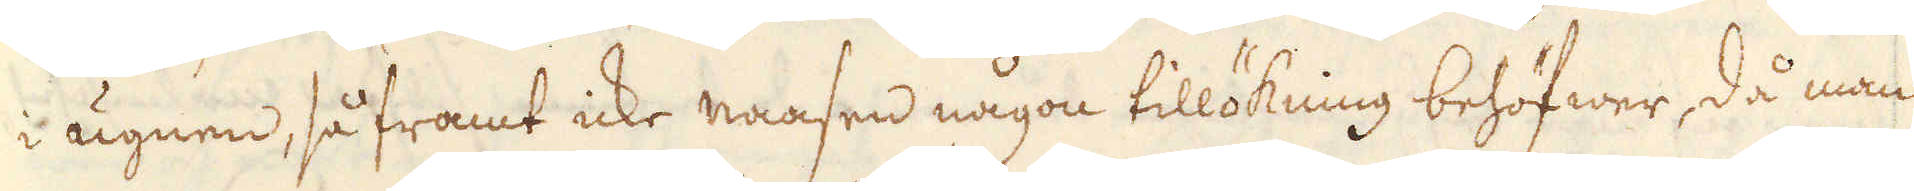i ugnen, så framt icke naasen någon tillökning behöfwer, då man
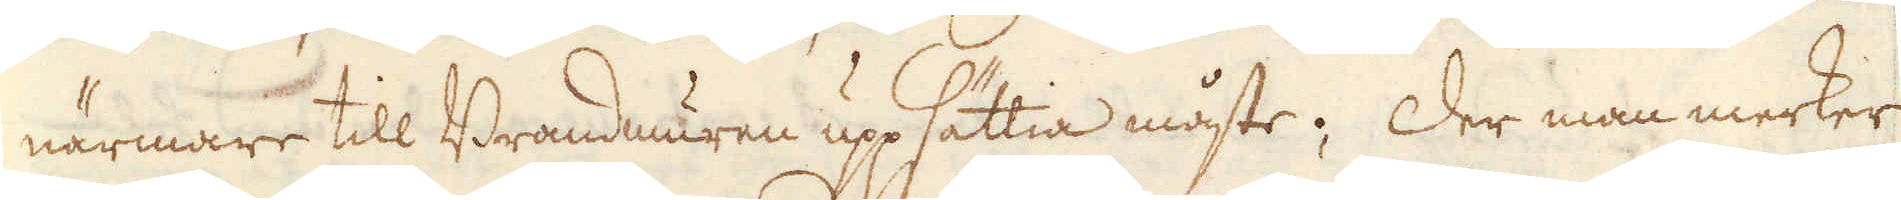närmare till Brandmuren uppsättia måste; Der man merker
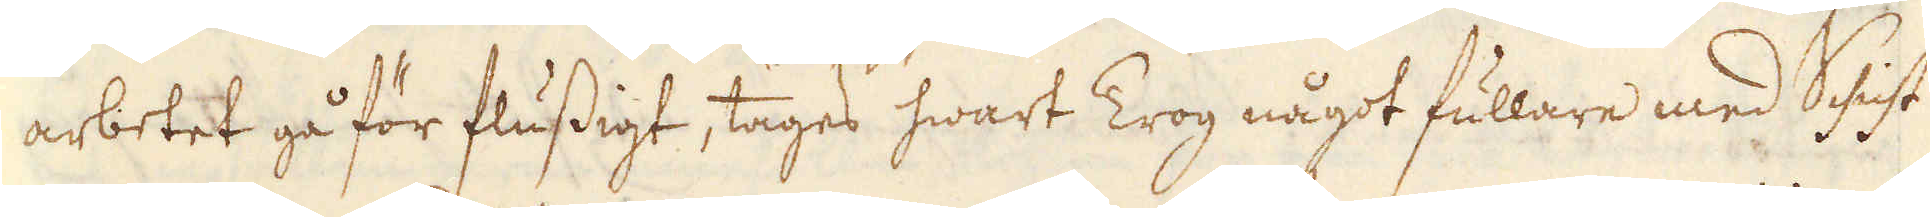arbetet gå för flussigt, tages hwart Trog något fullare med Schicht
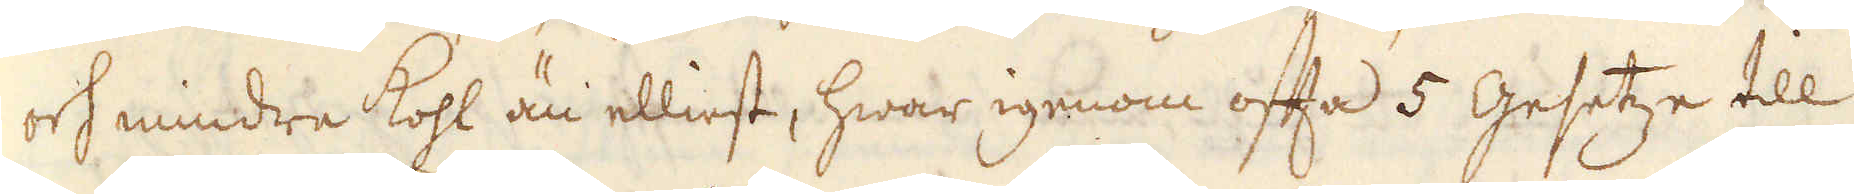och mindra kohl än elliest, hwar igenom ofta 5 Gesetze till
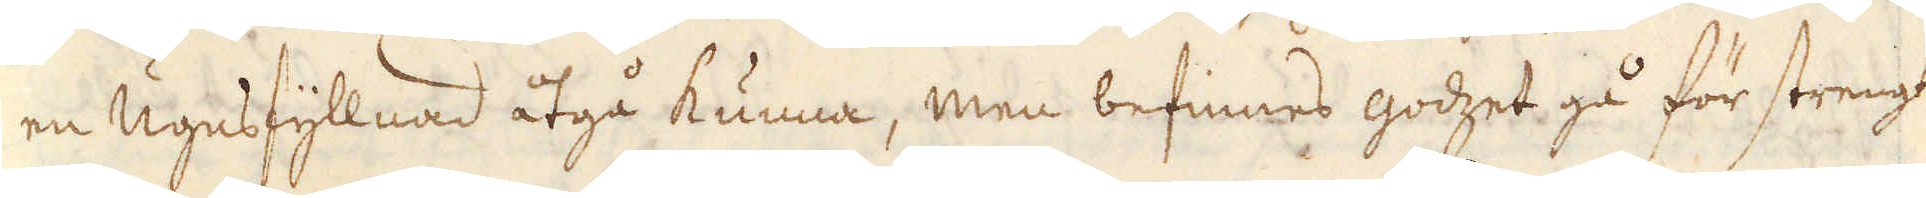en Ugnsfyllnad åtgå kunna, men befinnes godzet gå för strengt
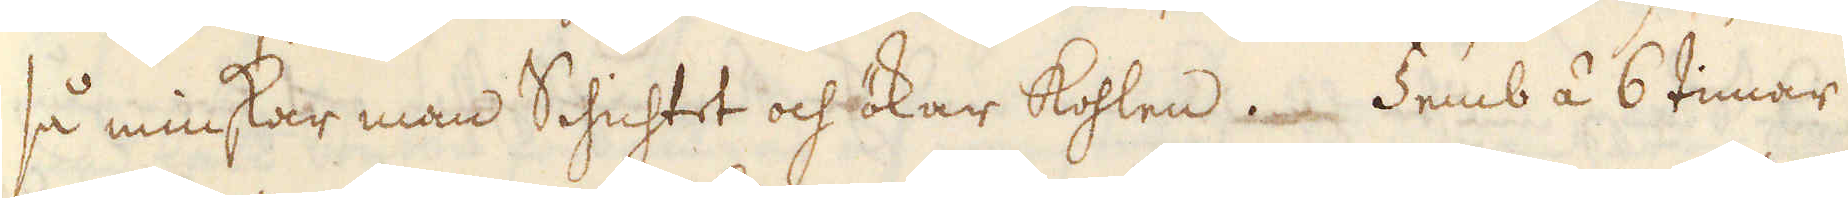så minskar man Schichtet och ökar kohlen. Femb á 6 timar
